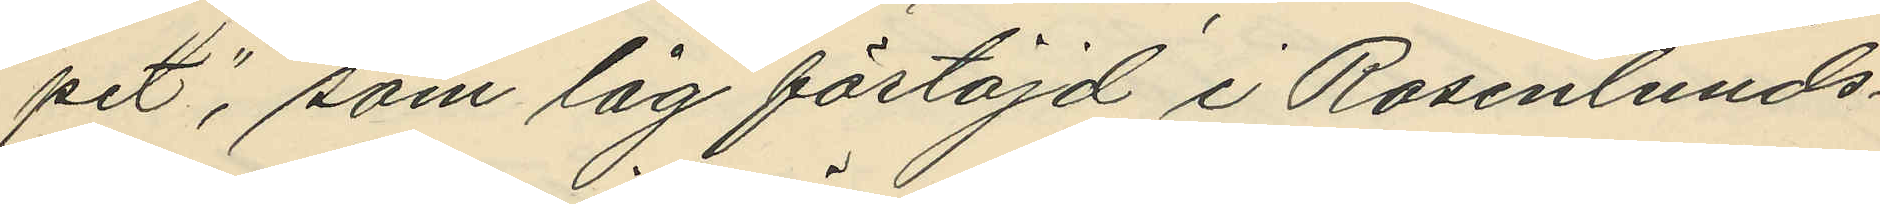pet", som låg förtöjd i Rosenlunds¬
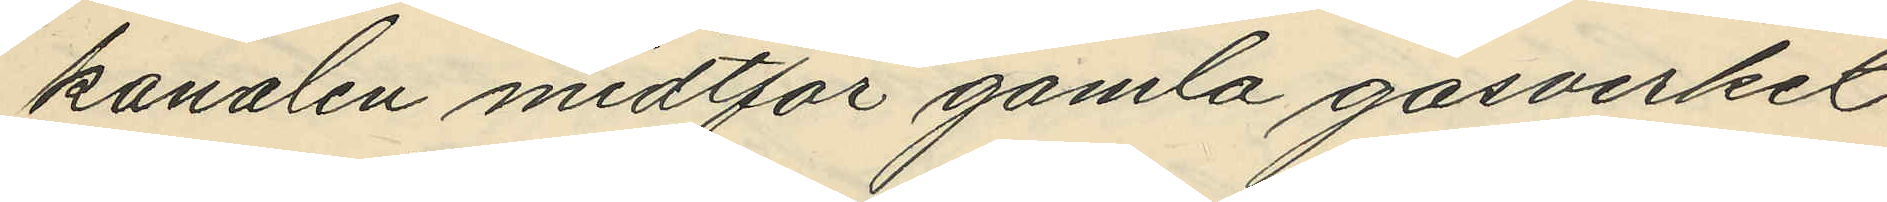kanalen midtför gamla gasverket
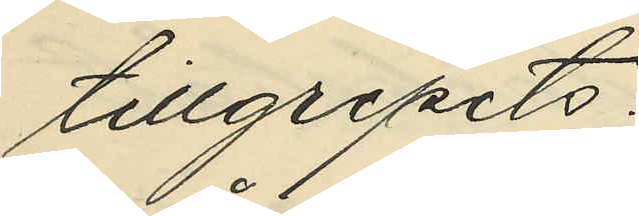tillgripits:
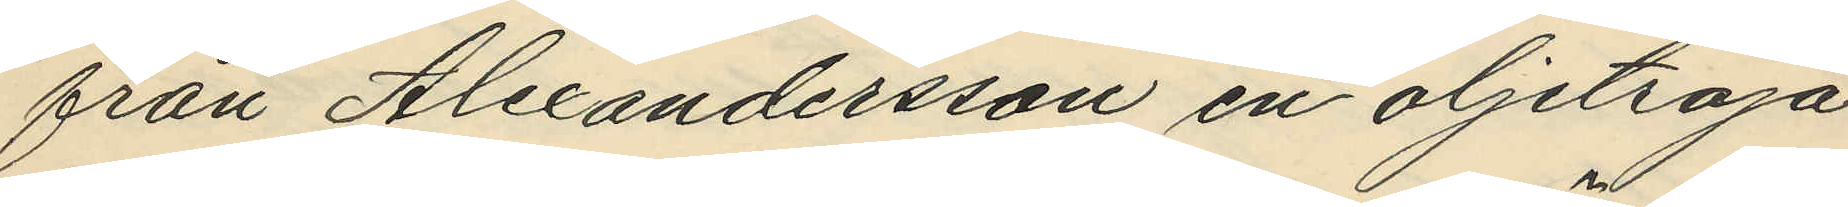från Alexandersson en oljetröja
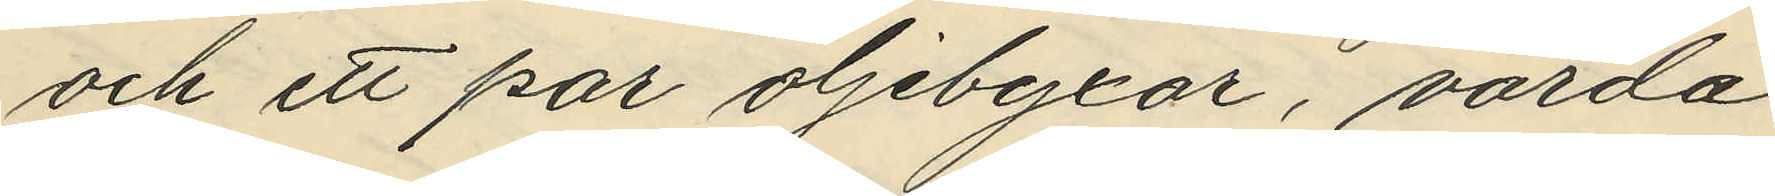och ett par oljebyxor, värda
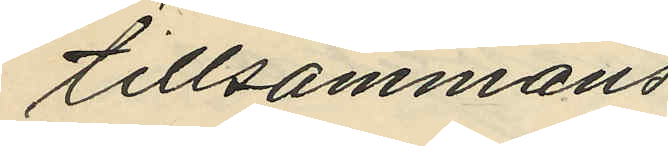tillsammans
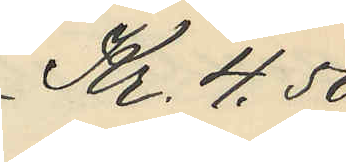Kr. 4,50
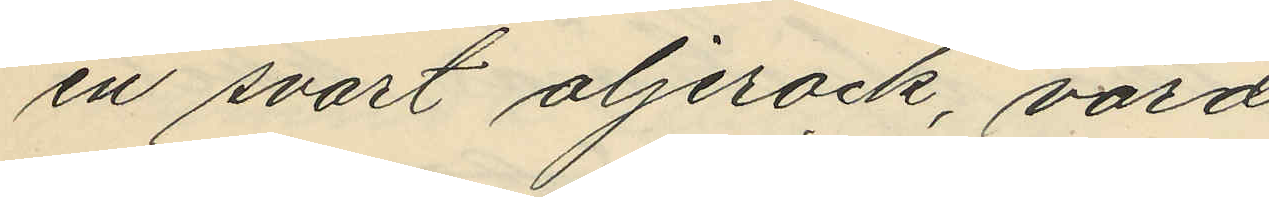en svart oljerock, värd
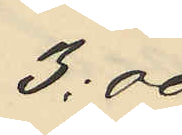3,00
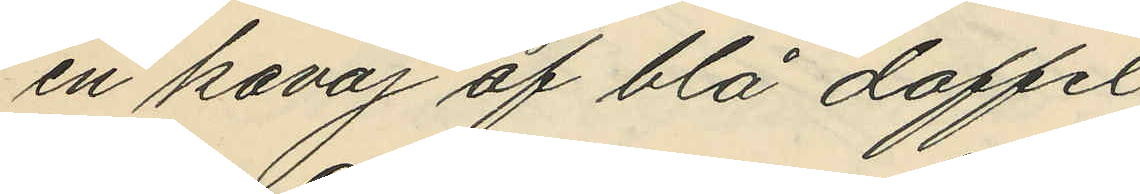en kavaj af blå doffel
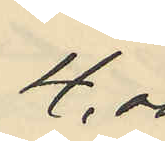4,00
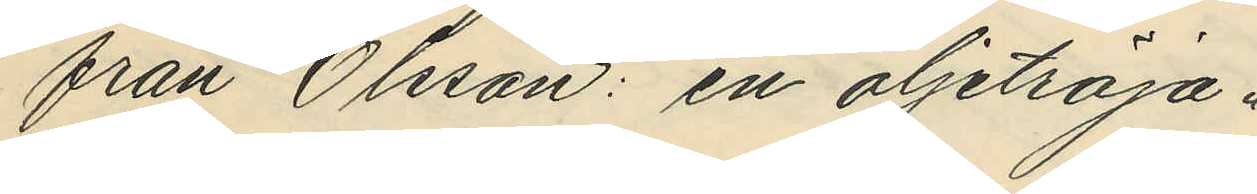från Olsson: en oljetröja
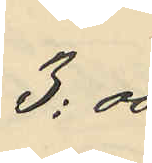3:00
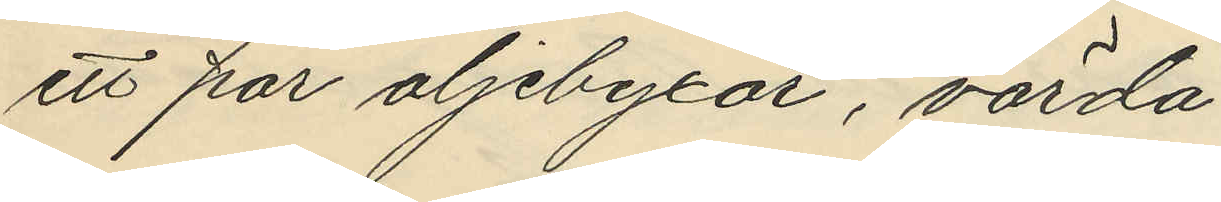ett par oljebyxor, värda
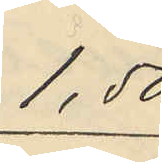1,50
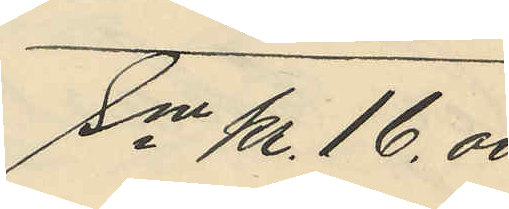Sm kr. 16,00.
